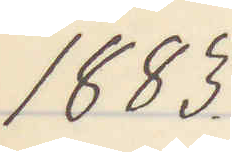1883.
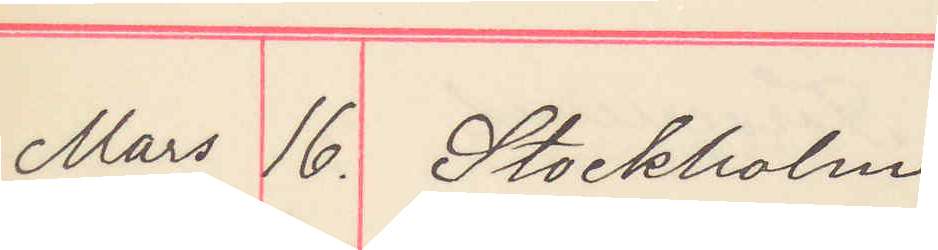Mars 16. Stockholm
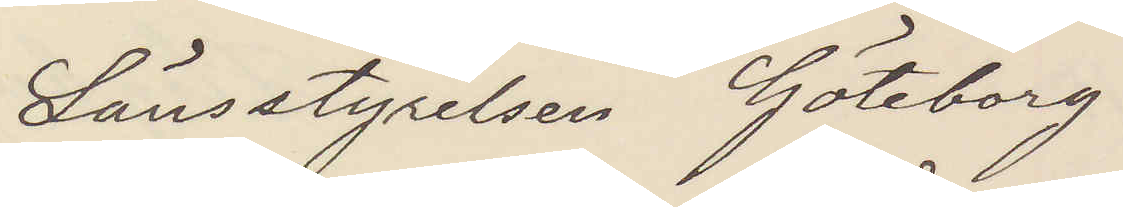Länsstyrelsen Göteborg
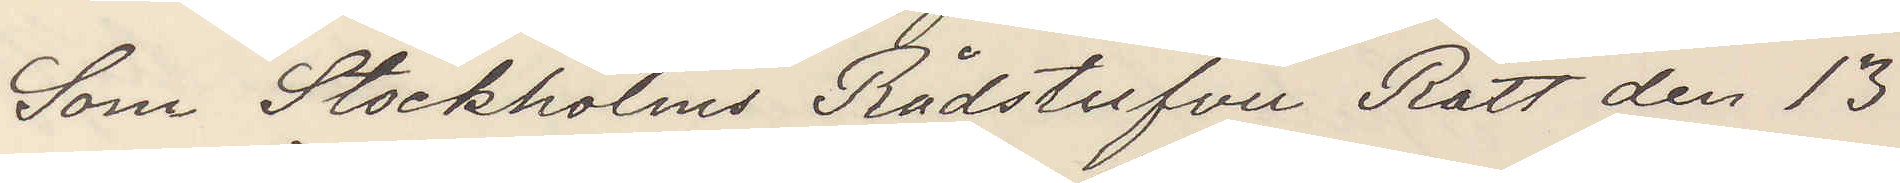Som Stockholms Rådstufvu Rätt den 13
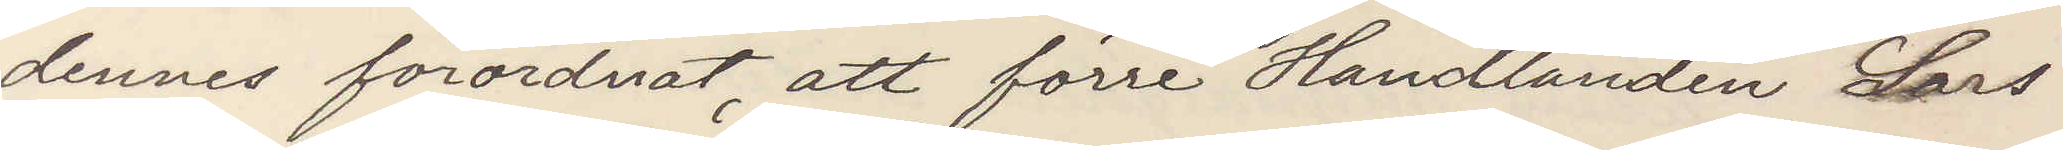dennes förordnat att förre Handlanden Lars
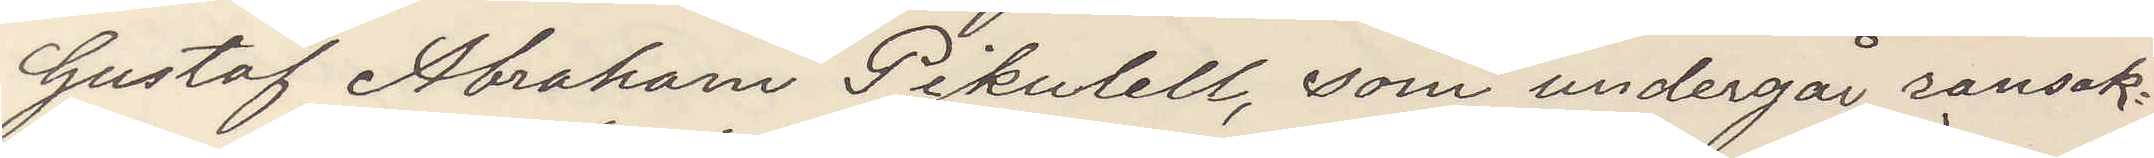Gustaf Abraham Pikulell, som undergår ransak¬
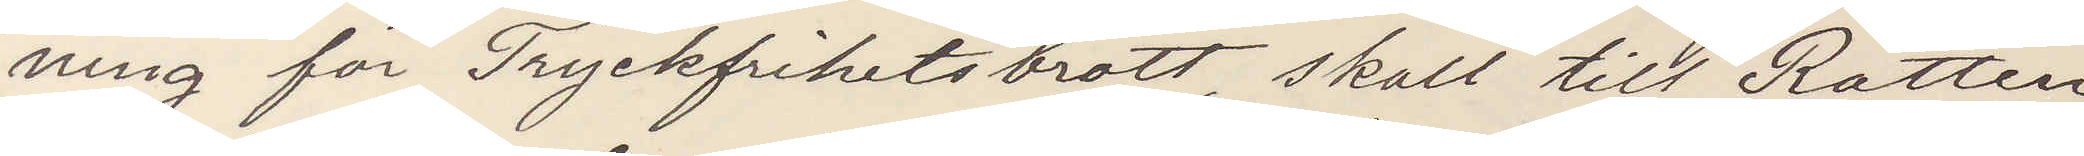ning för tryckfrihetsbrott, skall till Rätten
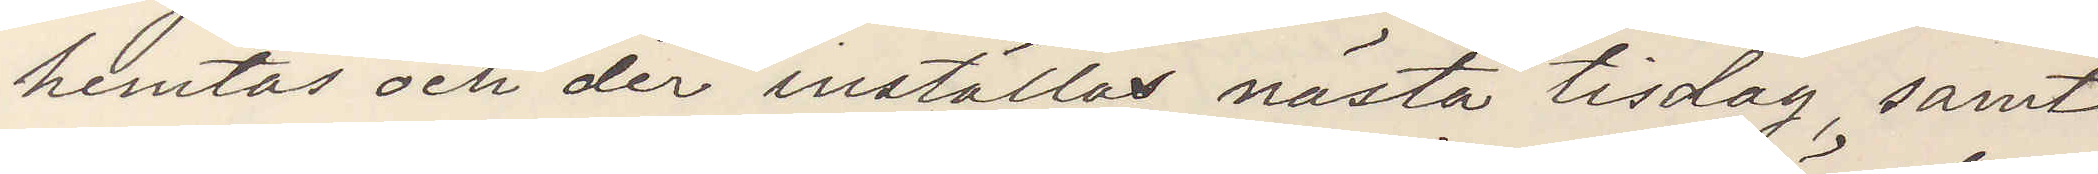hemtas och der inställas nästa tisdag, samt
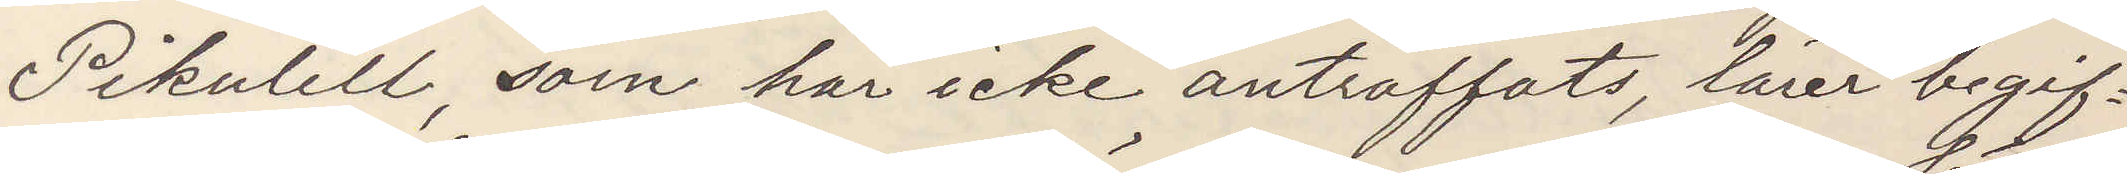Pikulell, som här icke anträffats lärer begif¬
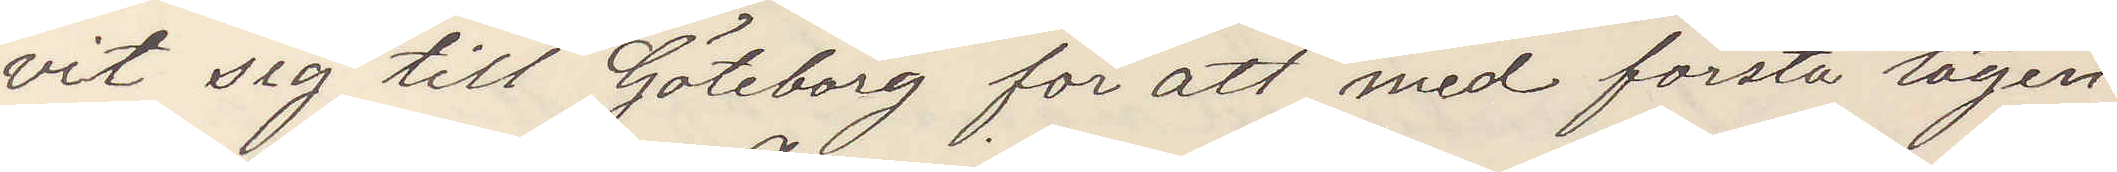vit sig till Göteborg för att med första lägen¬
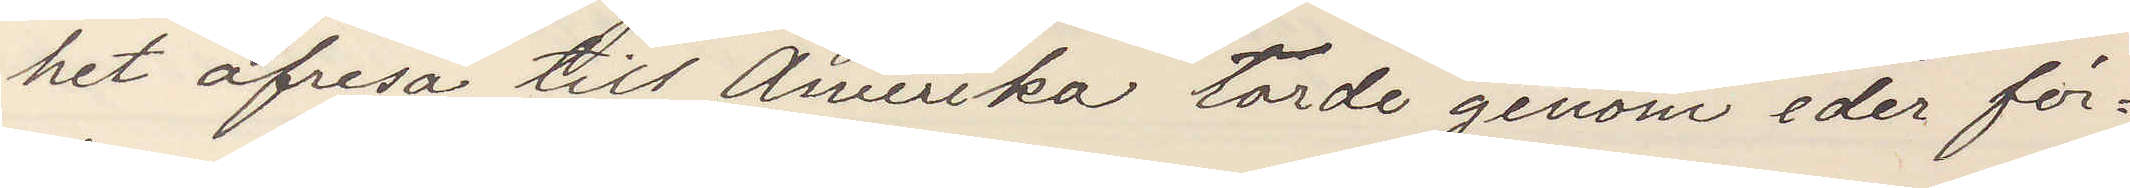het afresa till Amerika torde genom eder för¬
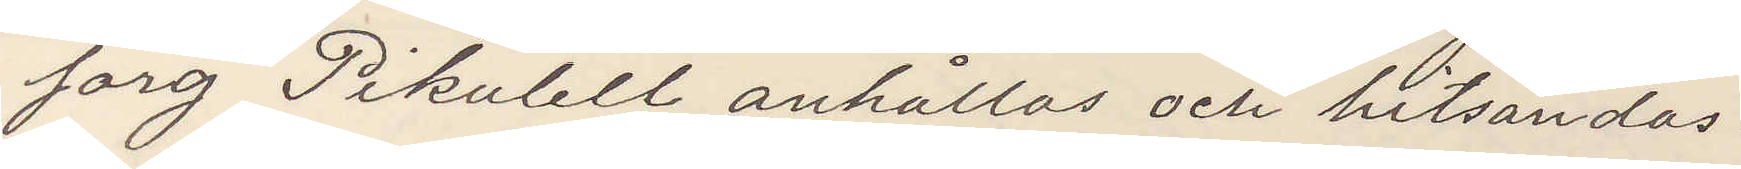sorg Pikulell anhållas och hitsändas.
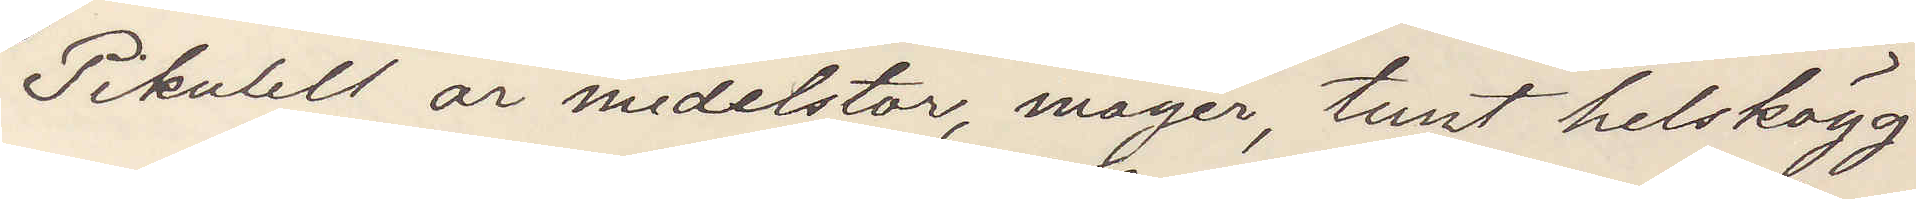Pikulell är medelstor, mager, tunt helskägg.
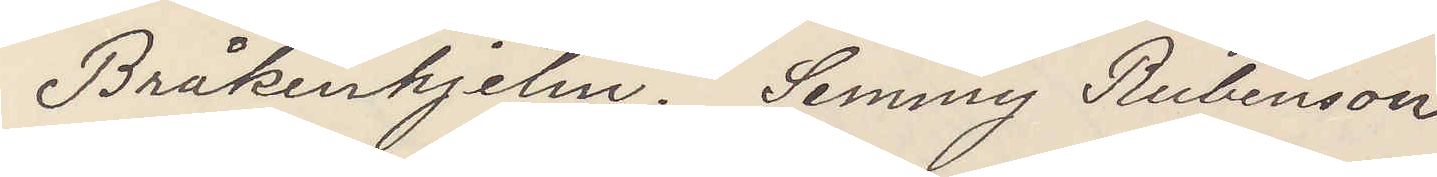Bråkenhjelm. Semmy Rubensson
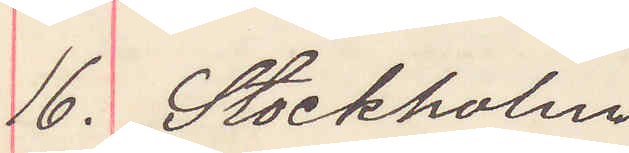16. Stockholm
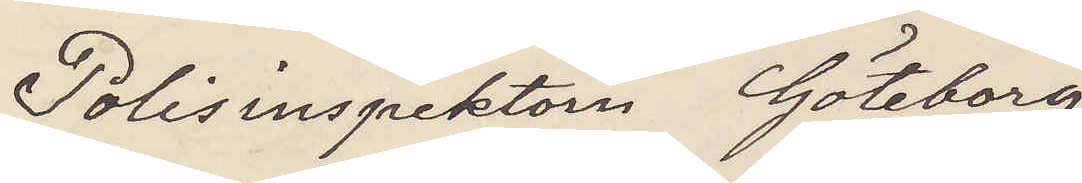Polisinspektorn Göteborg
